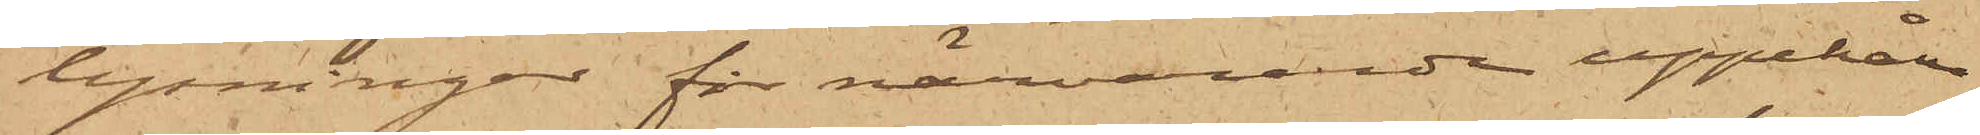lysningar för närvarande uppehålla
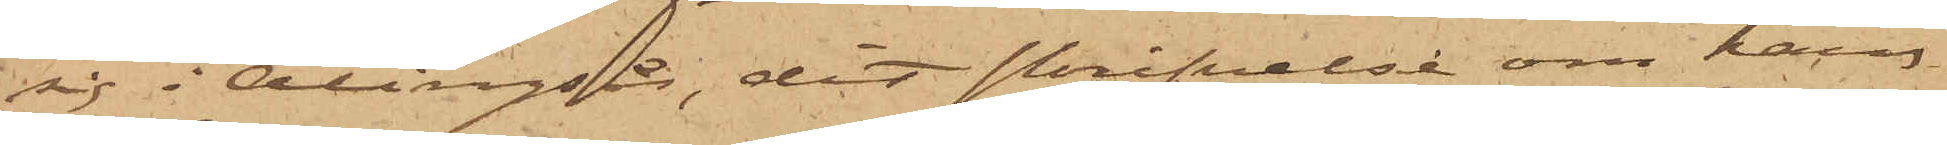sig i Alingsås, dit skrifvelse om hans
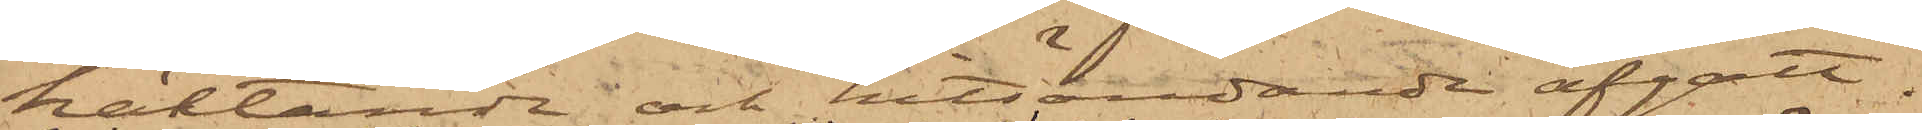häktande och hitsändande afgått.
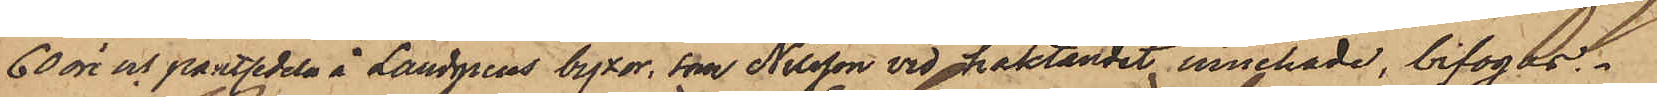60 öre och pantsedeln å Landgrens byxor, som Nilsson vid häktandet innehade, bifogas.
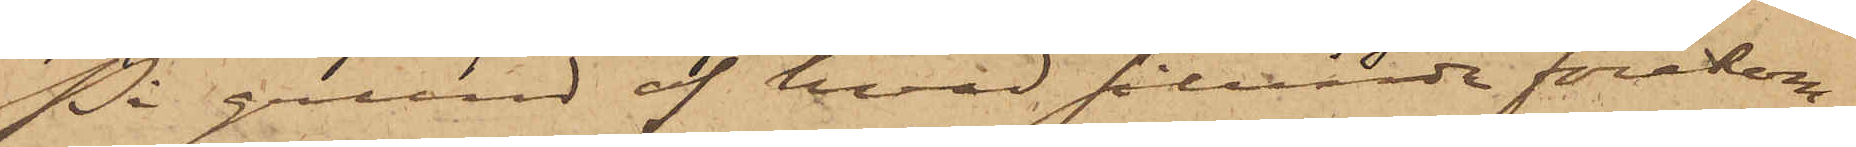På grund af hvad sålunda förekom¬
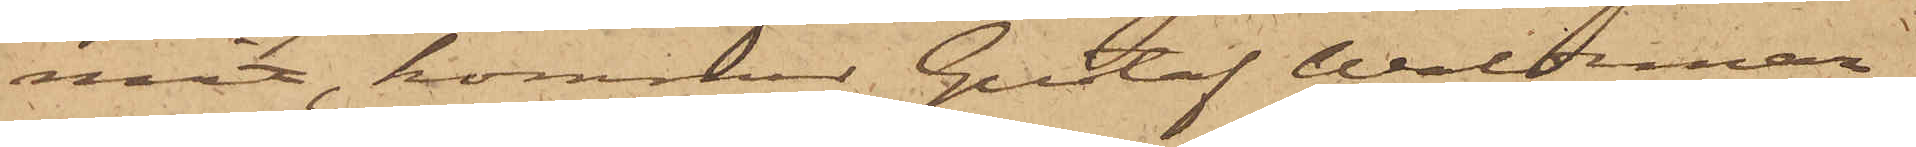mit, kommer Gustaf Waldemar
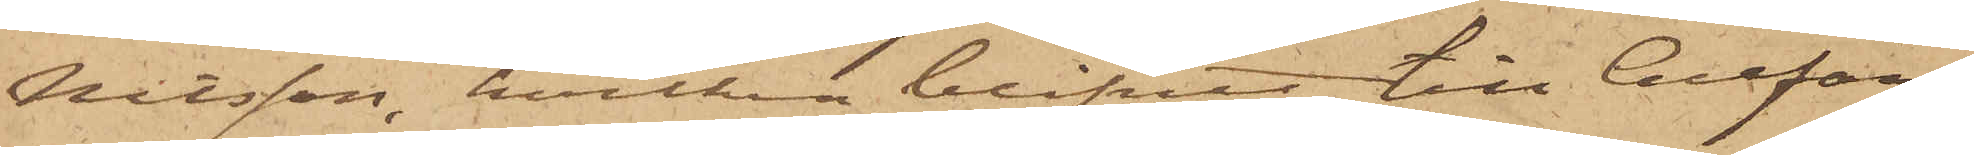Nilsson, hvilken blifvit till Cellfän¬
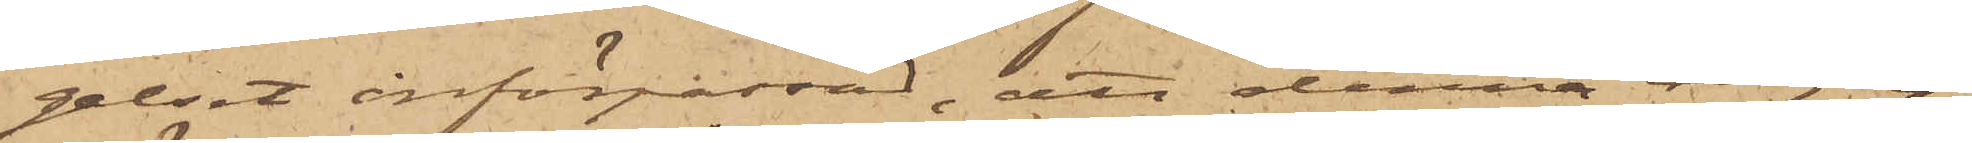gelset införpassad, att denna dag in¬
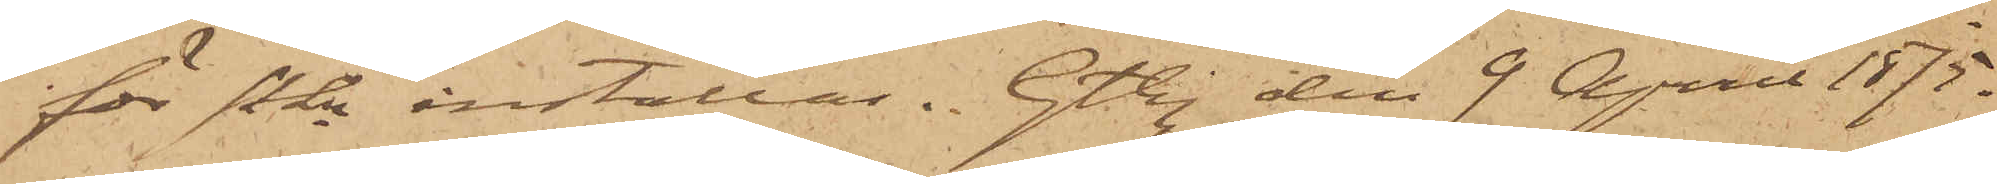för Pkn inställas. Gtbg den 9 April 1875.
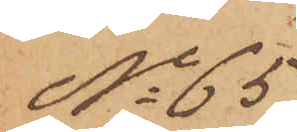No 65
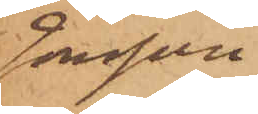Jonsson
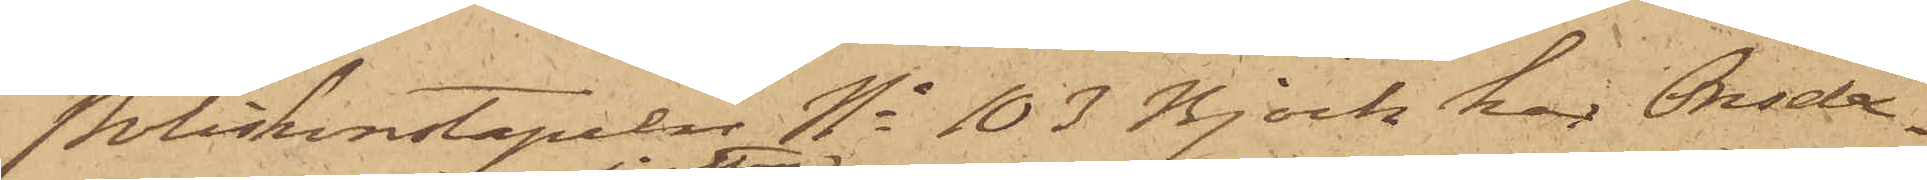Poliskonstapeln No 103 Björk har Onsda¬
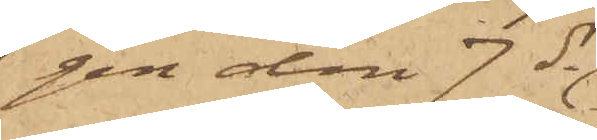gen den 7 ds
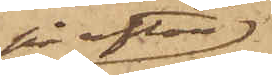på afton
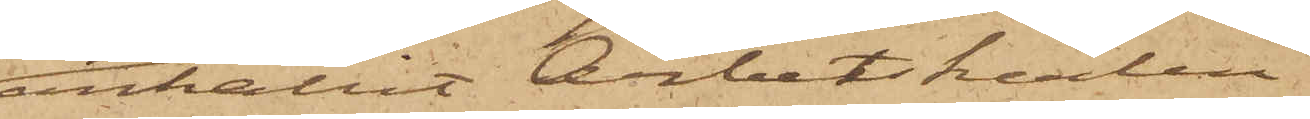anhållit Arbetskarlen
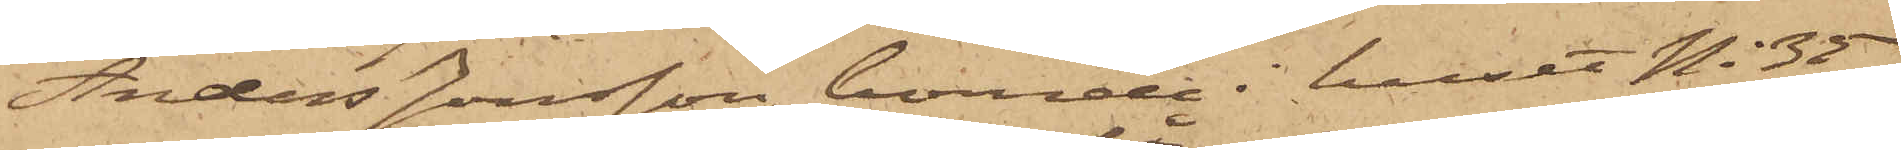Anders Jonsson, boende i huset No 35
